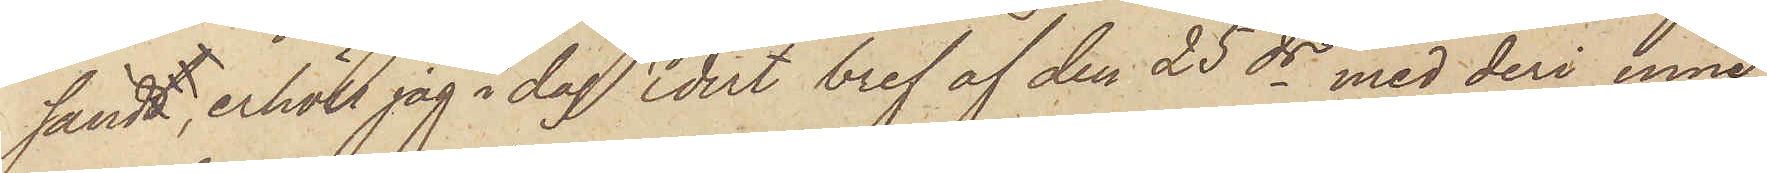sändt erhöll jag i dag Edet bref af den 25 ds med deri inne¬
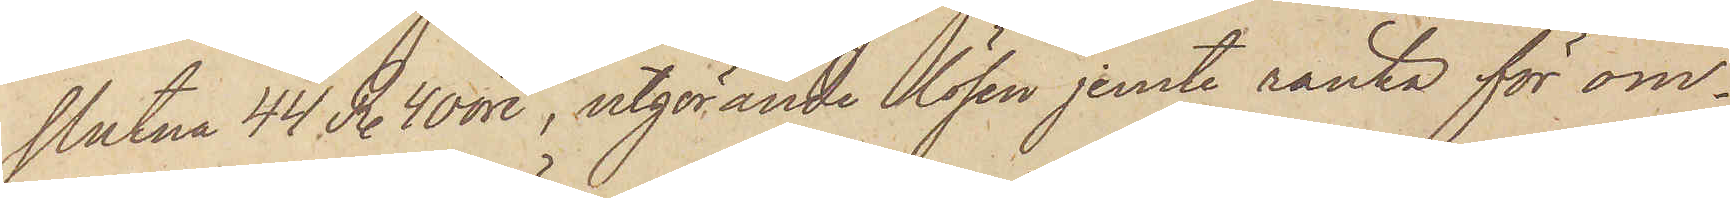slutna 44 R. 40 öre, utgörande lösen jemte ränta för om¬
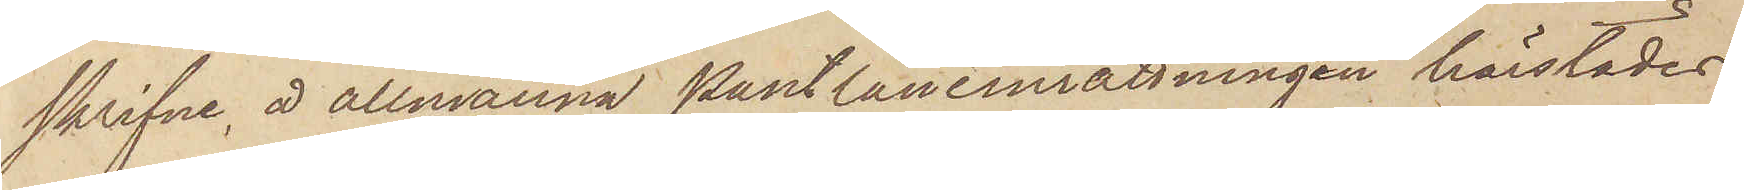skrifne å allmänna Pantlåneinrättningen härstädes
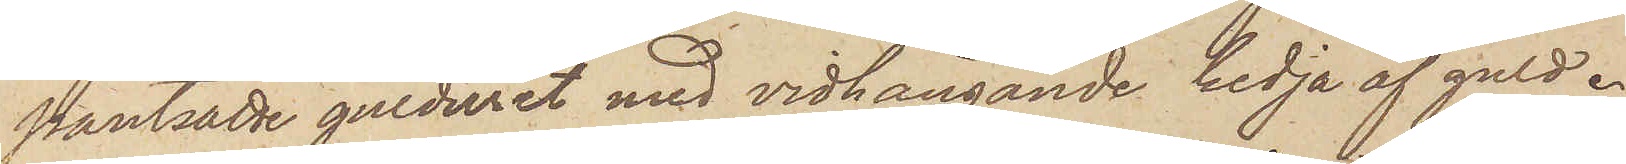pantsatte gulduret med vidhängande kedja af guld.
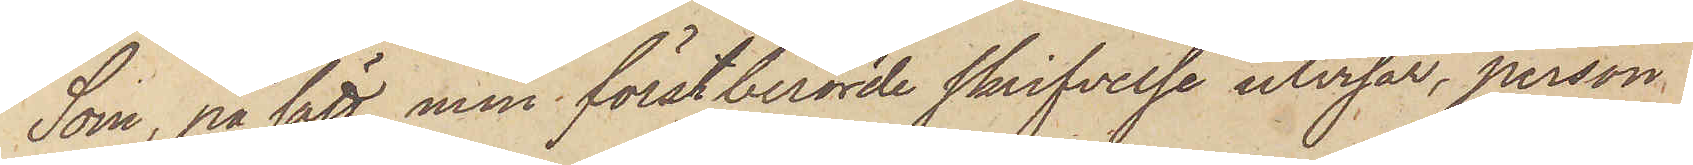Som, på sätt men förstberörde skrifvelse utvisar, person
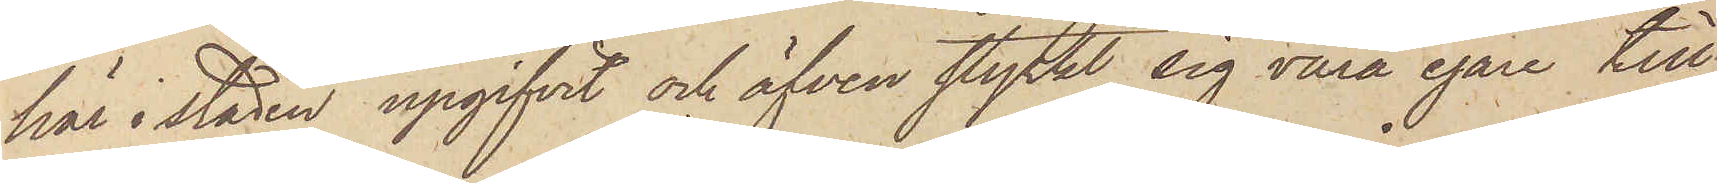här i staden upgifvit och äfven styrkt sig vara egare till
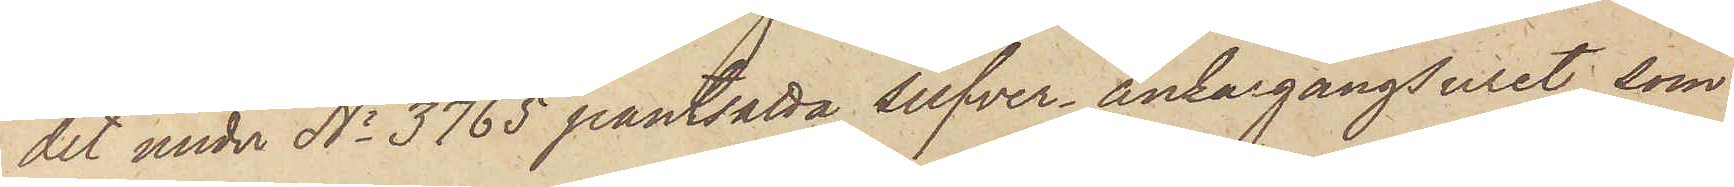det under No 3765 pantsatta silfver ankargångsuret, som
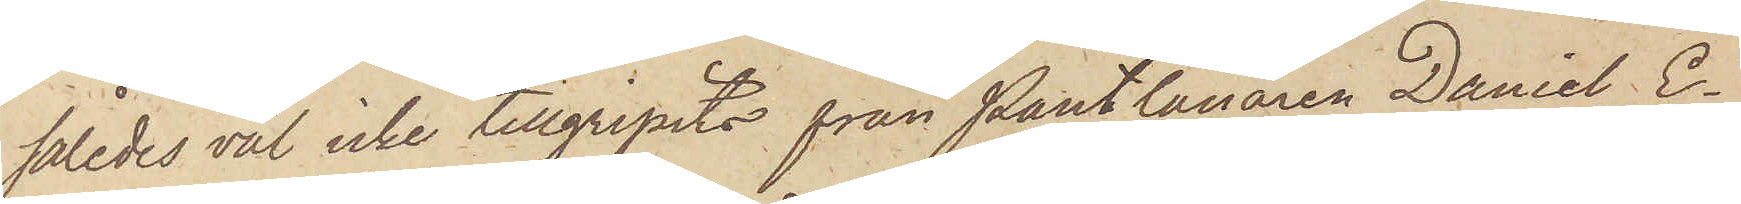således väl icke tillgripits från Pantlånaren Daniel E¬
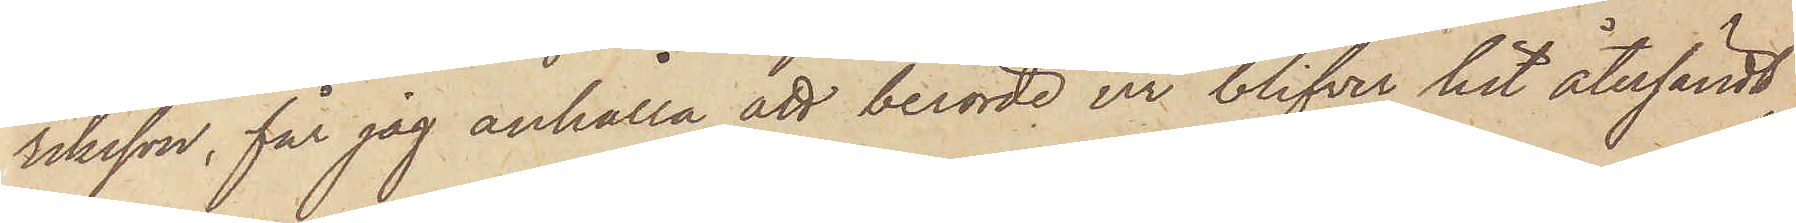riksson, får jag anhålla, att berörde ur blifver hit återsändt
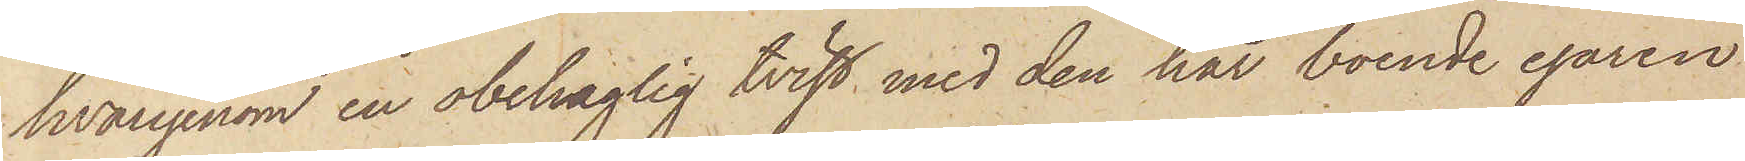hvarigenom en obehaglig tvist med den här boende egaren
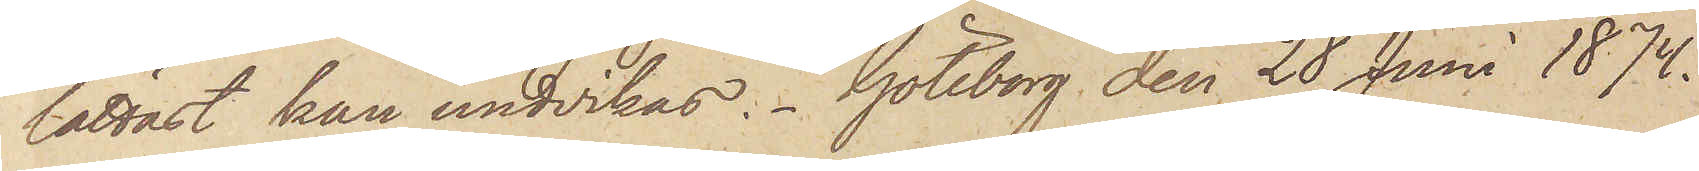lättast kan undvikas. Göteborg den 28 Juni 1874.
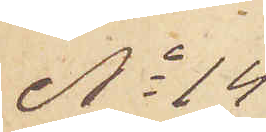No 14
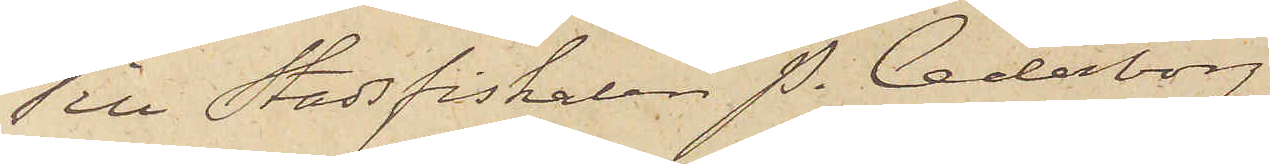Till Stadsfiskalen P. Cederborg
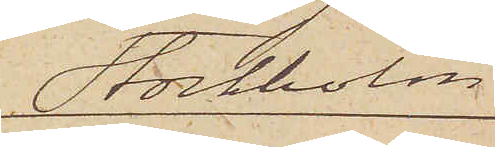Stockholm
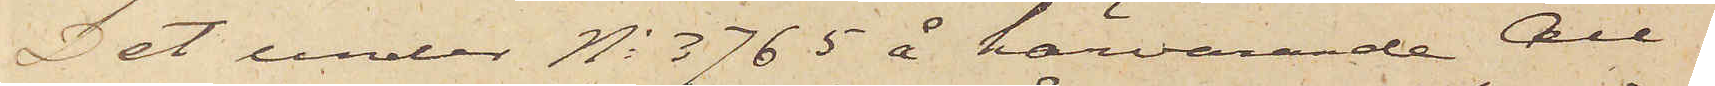Det under No 3765 å härvarande All¬
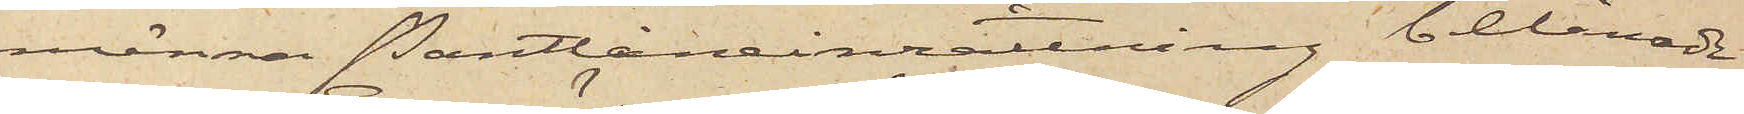männa Pantlåneinrättning belånade
